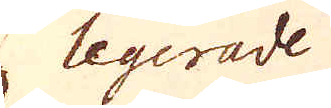legerade
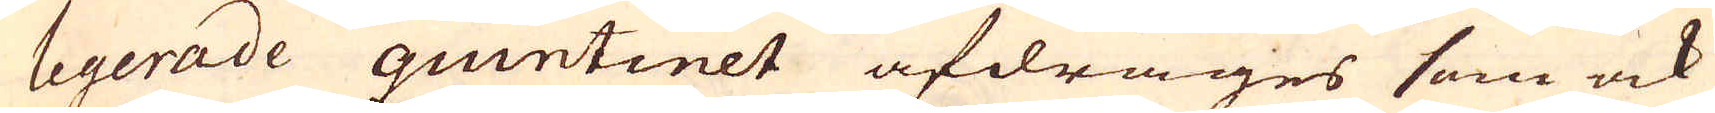legerade quintinet afdrages som ock
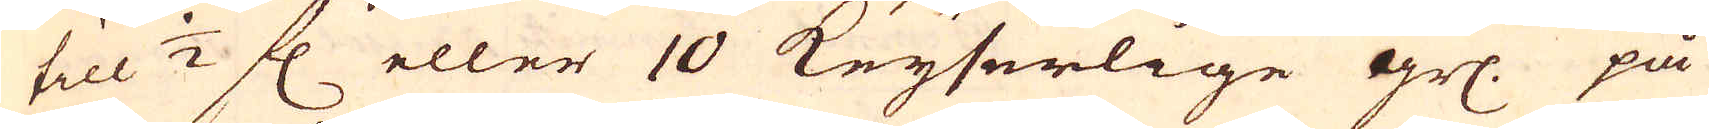till 1/2 fl eller 10 Keyserlige grs. på
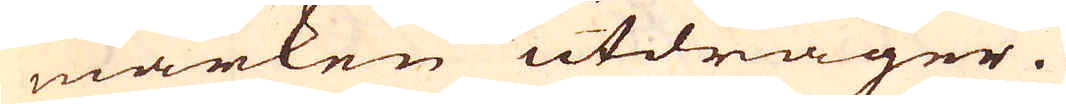marken utdrager.
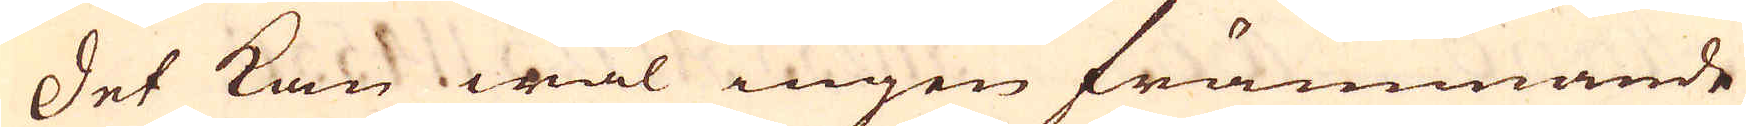Det kan wäl ingen främmande
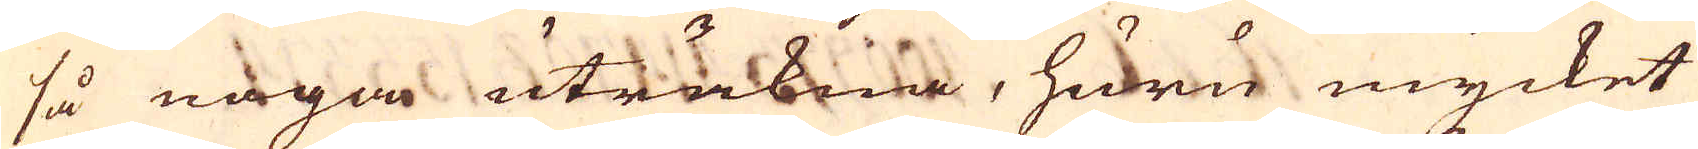så noga uträkna, huru mycket
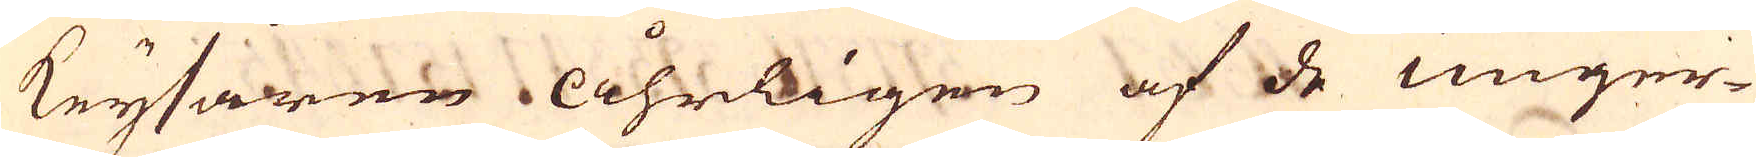Keysaren Åhrligen af de unger-
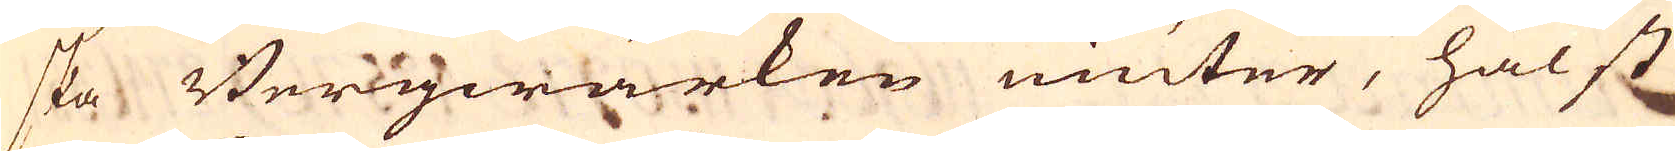ska Bergwärken niuter, hälst
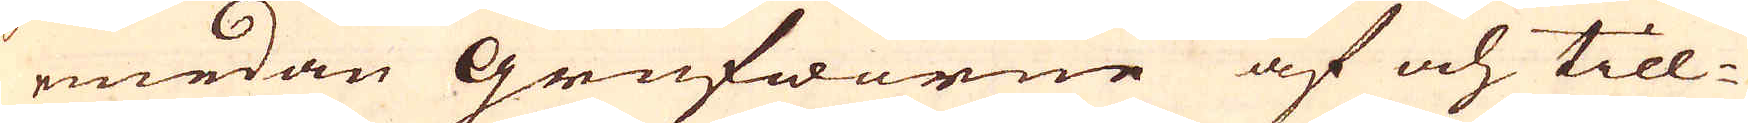emedan Grufworne af och till-
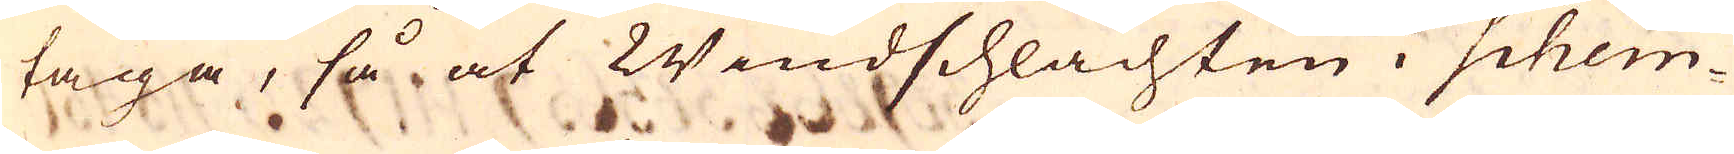taga, så at Windschlachten i Schem-
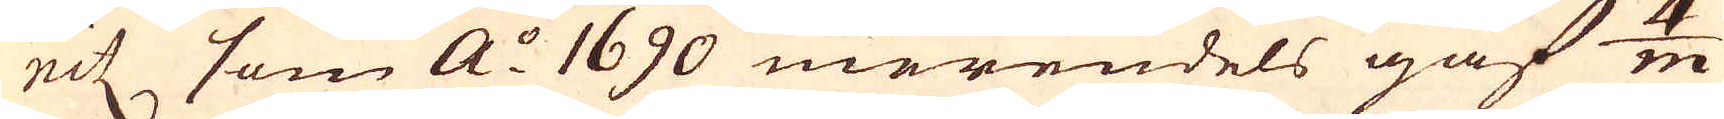nitz som a:o 1690 merendels gaf 4/m
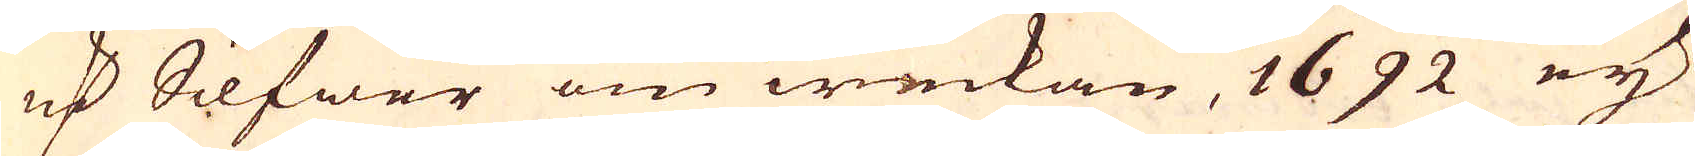marker Silfwer om weckan, 1692 eij
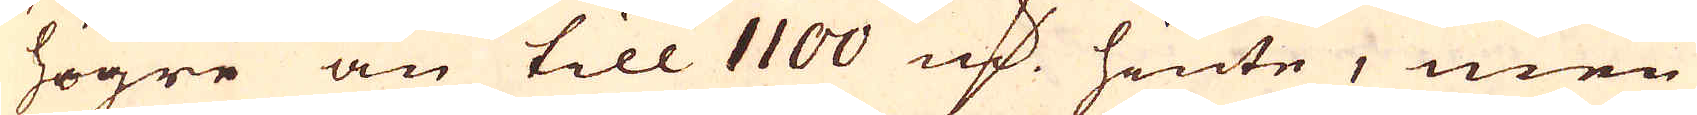högre än till 1100 marker hinte, men
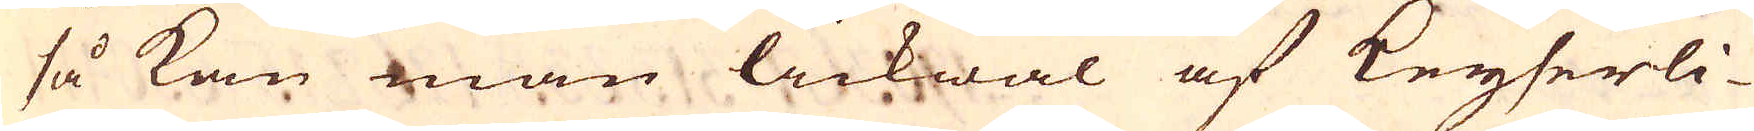så kan man lickwäl af Keyserli-
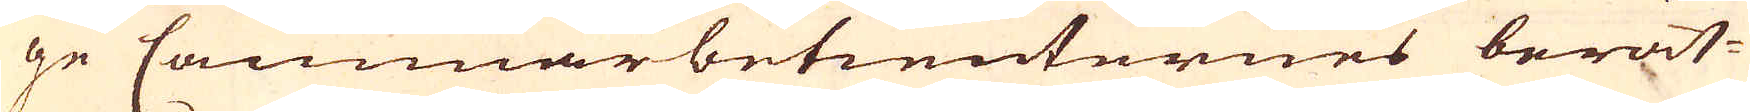ge Cammarbetienternes berät-
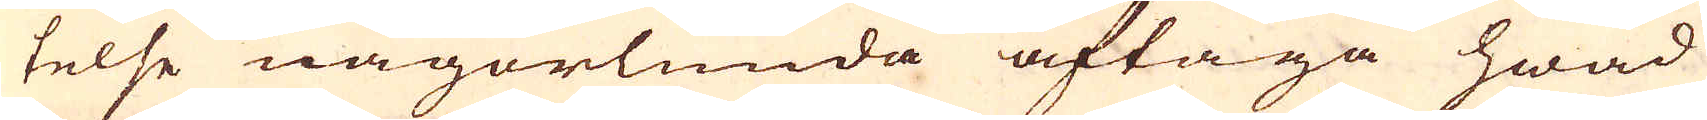telse någorlunda aftaga hwad
